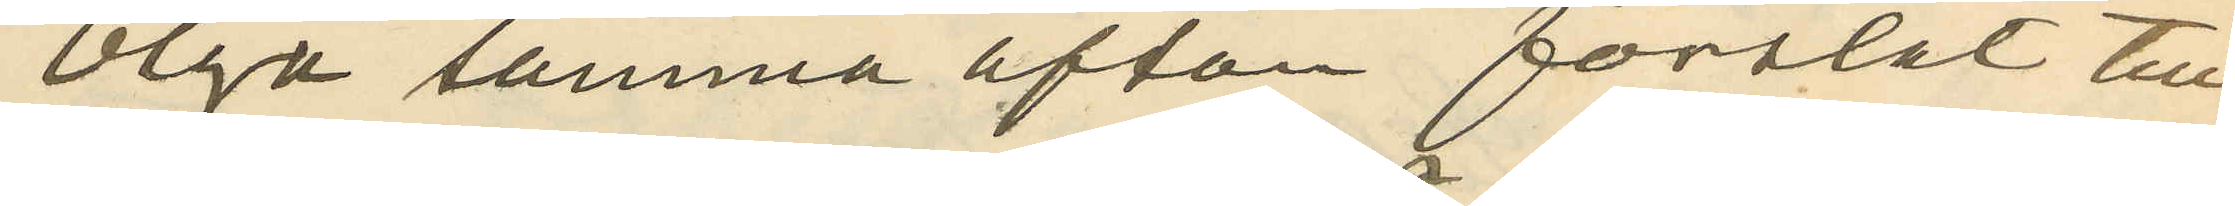Olga samma afton forslat till
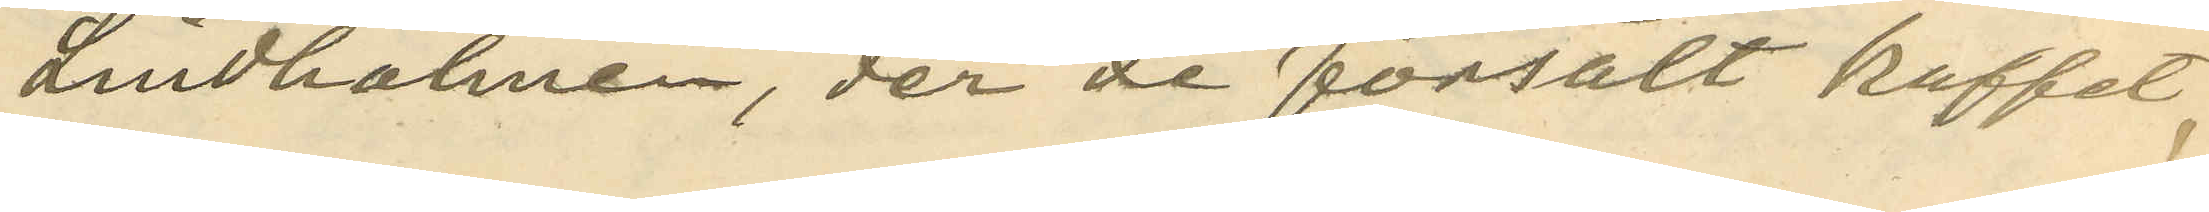Lindholmen, der de försålt kaffet,
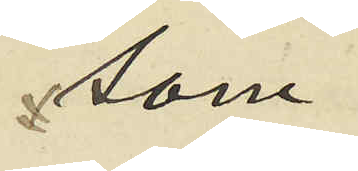som
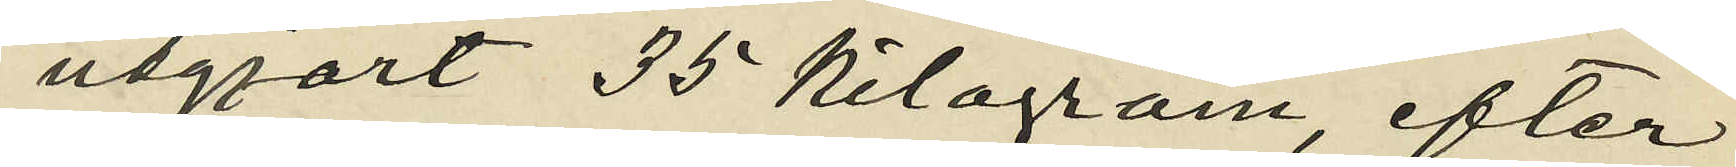utgjort 35 kilogram, efter
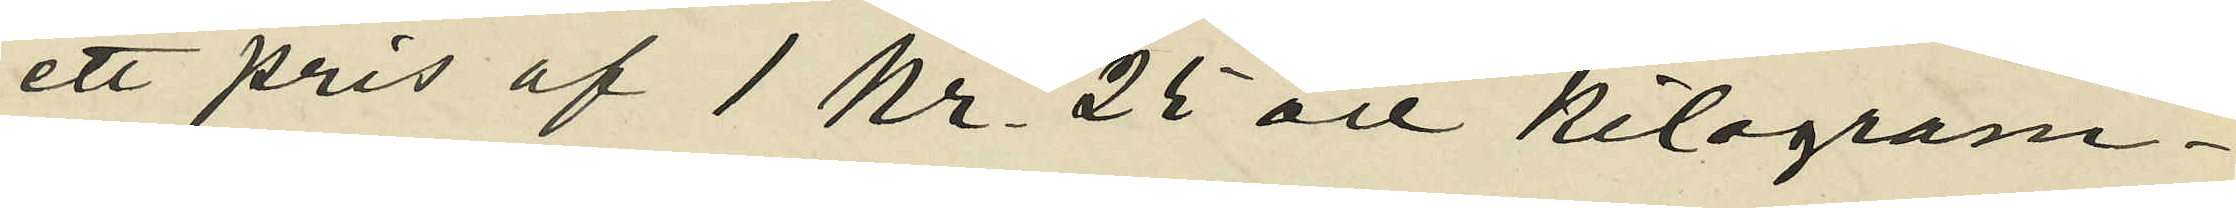ett pris af 1 kr. 25 öre kilogram¬
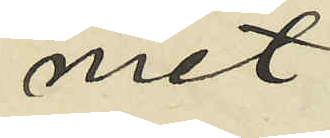met;
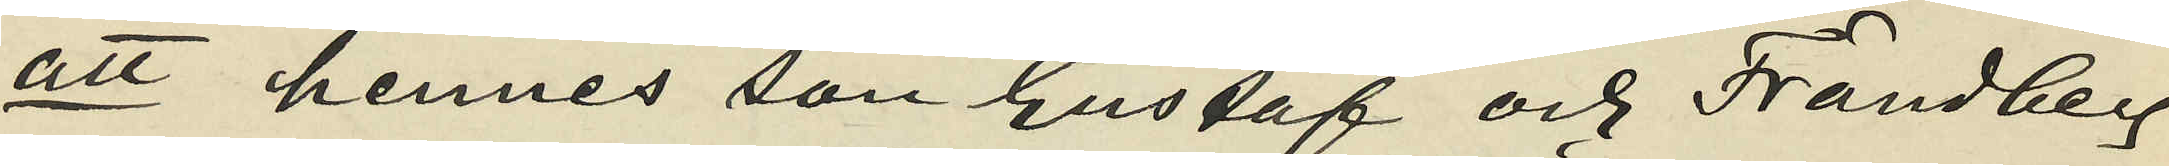att hennes son Gustaf och Frändberg
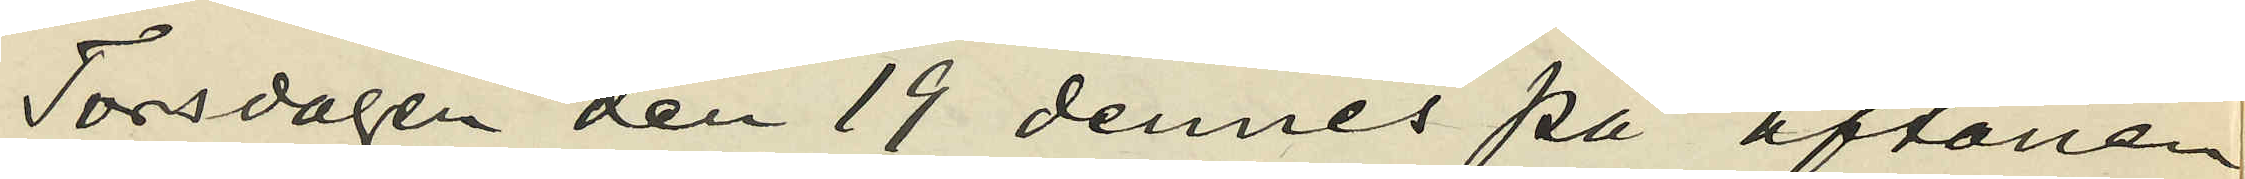Torsdagen den 19 dennes på aftonen
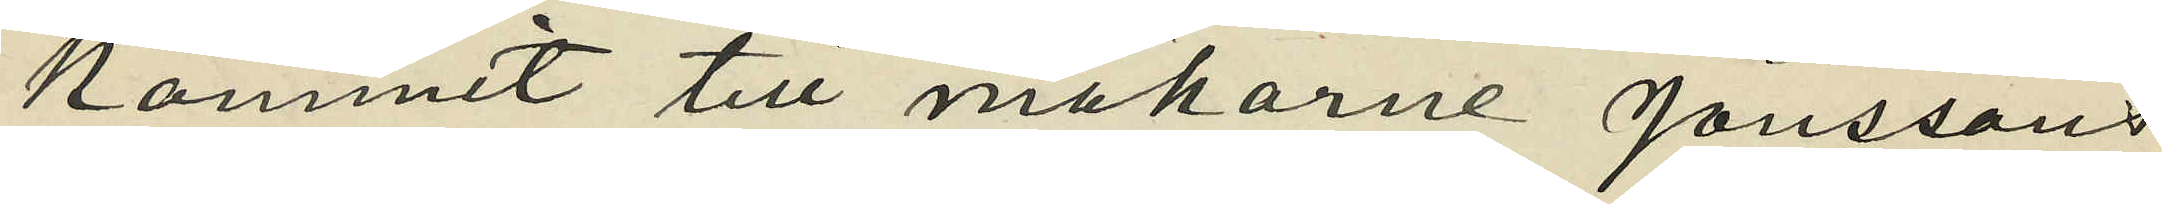kommit till makarne Jönssons
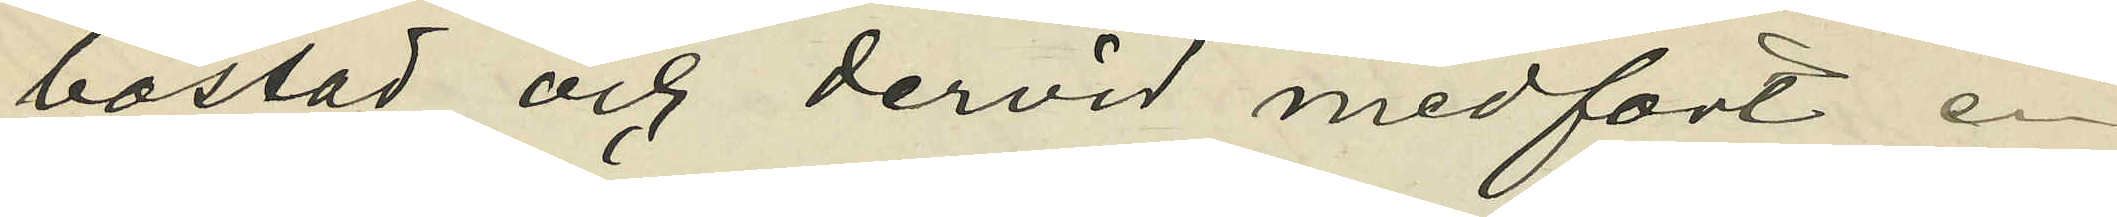bostad och dervid medfört en
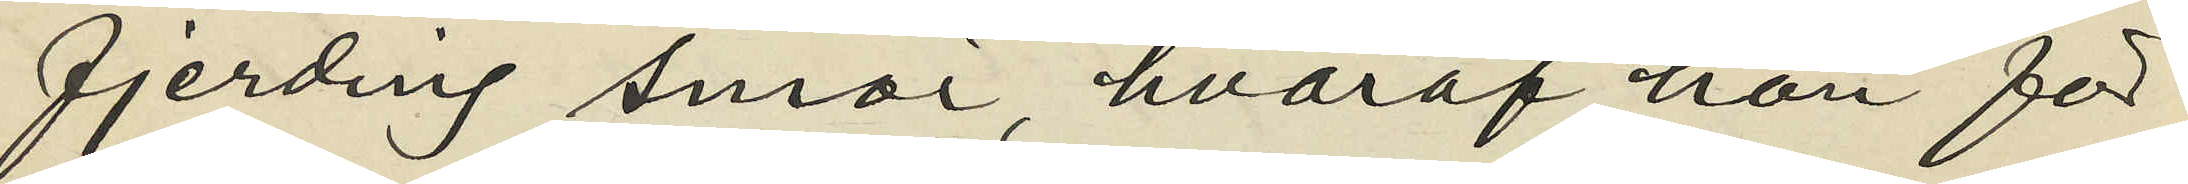fjerding snör, hvaraf han för
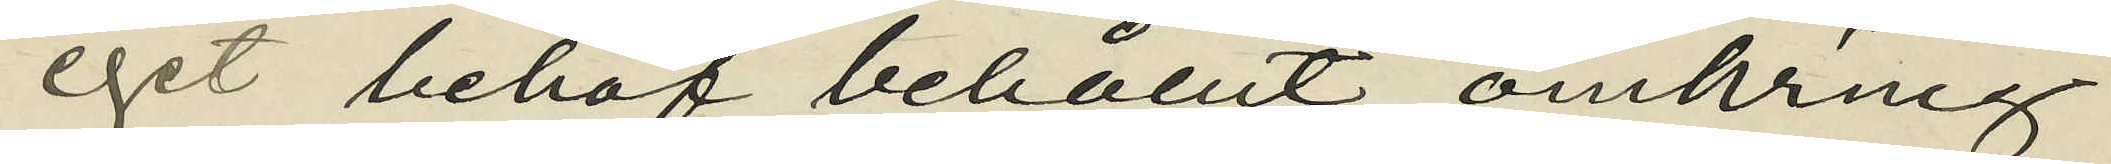eget behof behållit omkring
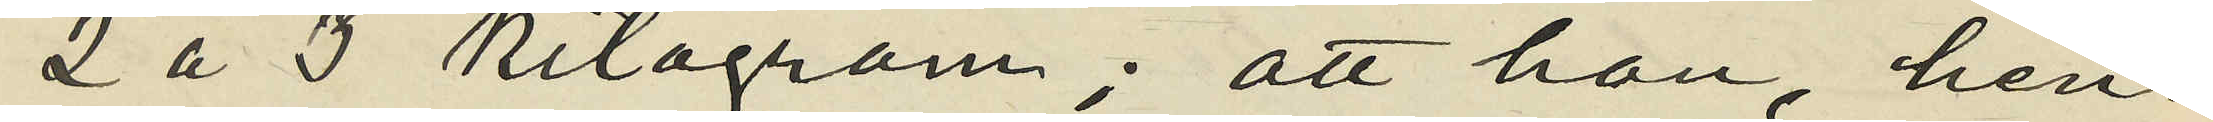2 à 3 kilogram; att han, hen¬
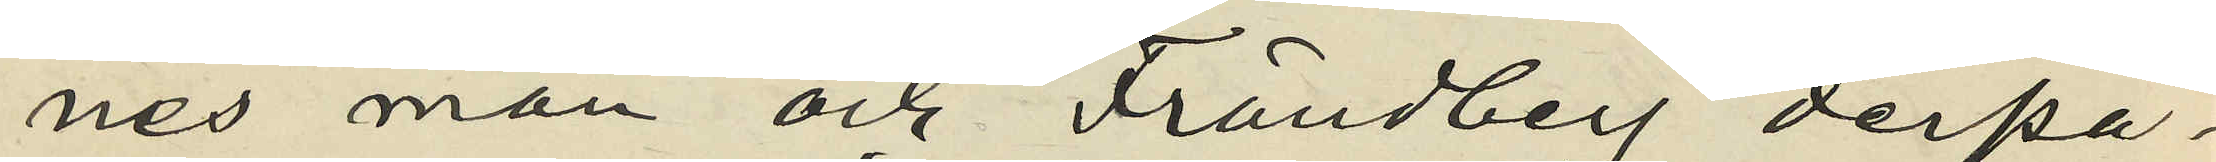nes man och Frändberg derpå
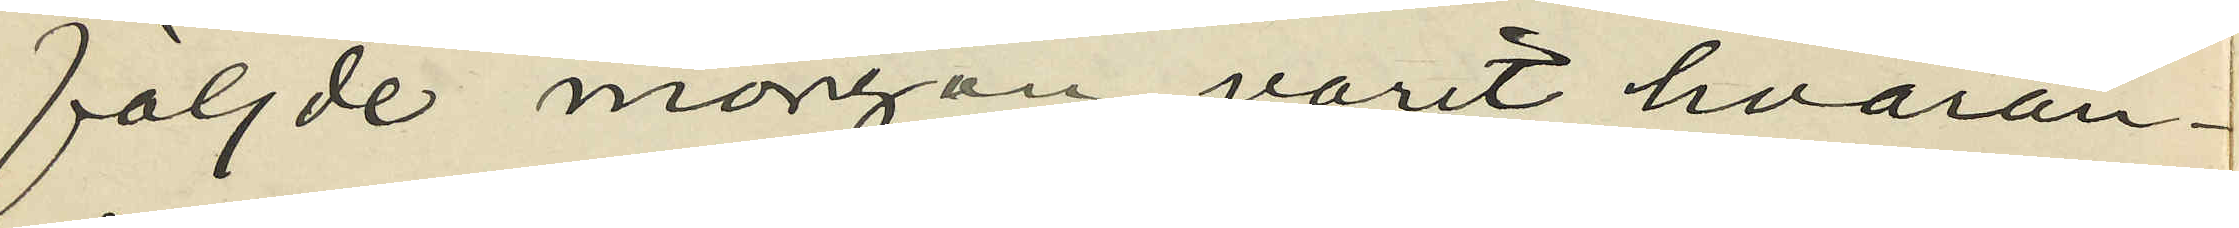följde morgon varit hvaran¬
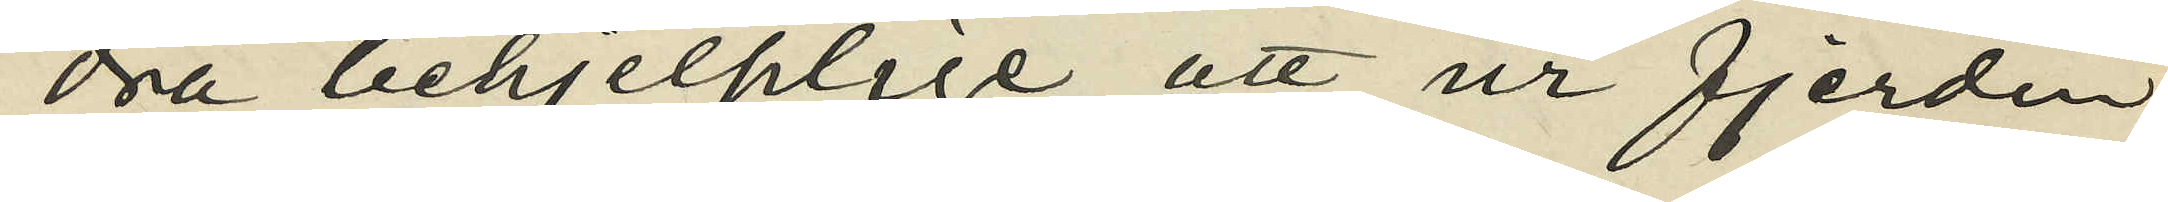dra behjelplige att ur fjerdin¬
